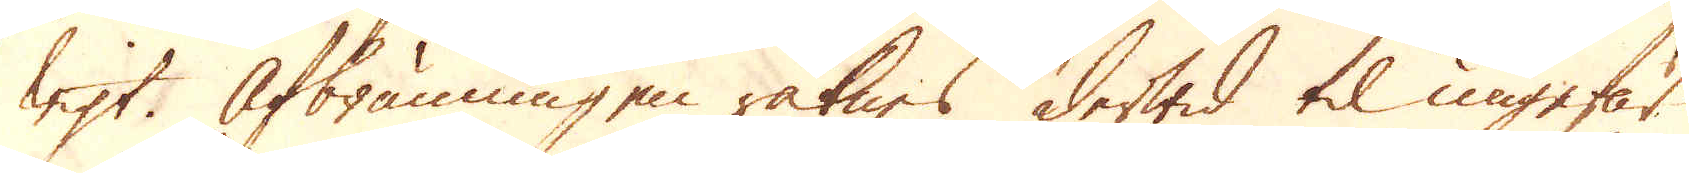wigt. Afbränningen räknes derwid til ungefär
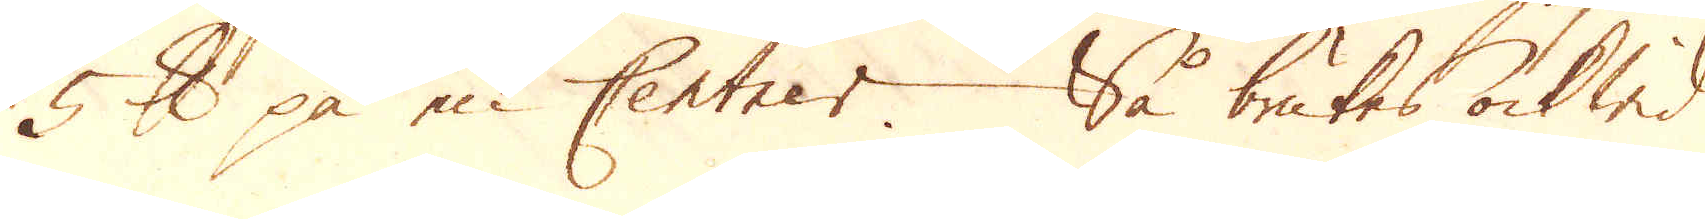5 skålpund på en Centner. Så brukes ock wid
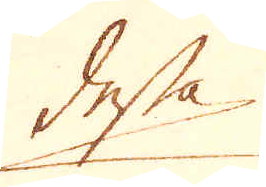dessa
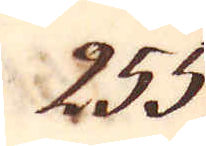255.
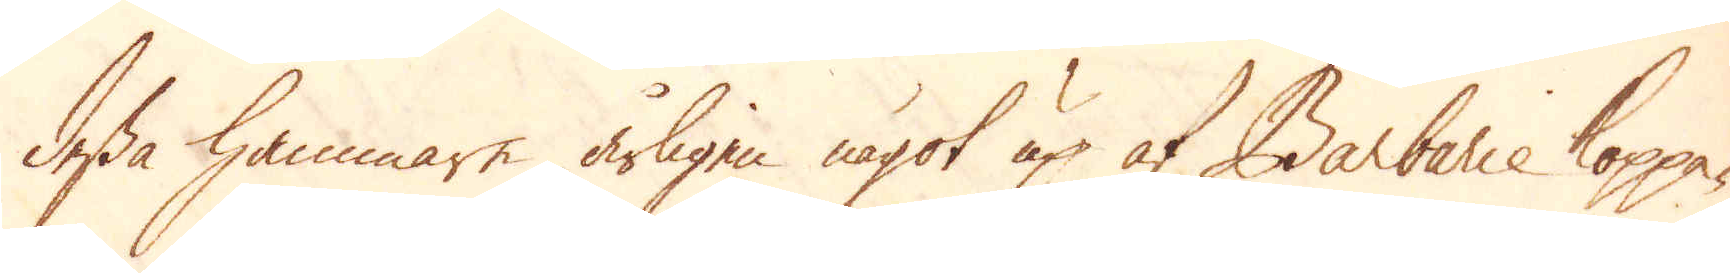dessa hammare årligen något up af Barbarie koppa-
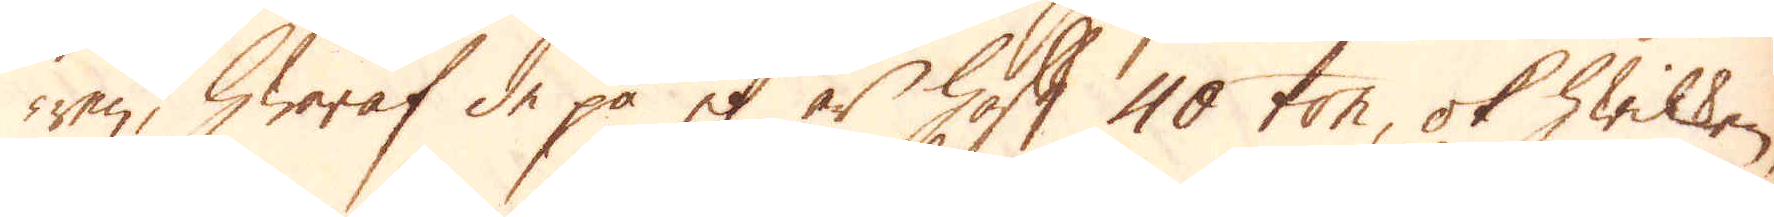ren, hwaraf de på et år haft 40 ton, ok hwilken,
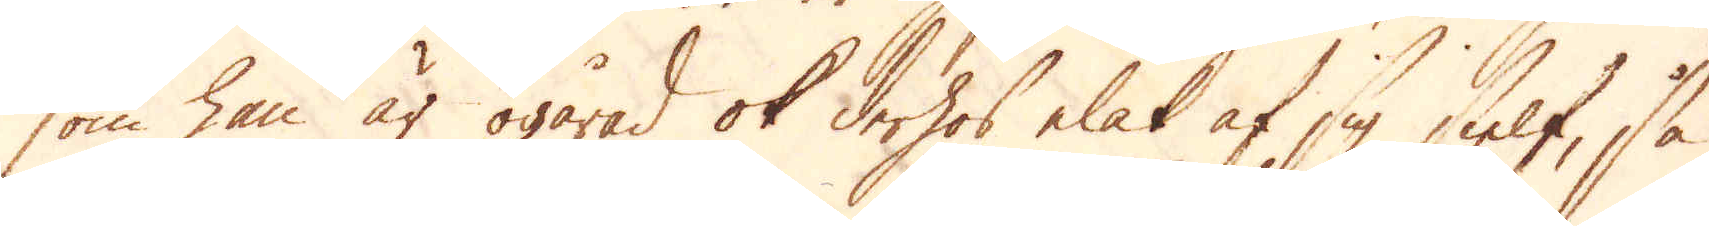som han är ogårad ok derhos elak af sig sielf, så
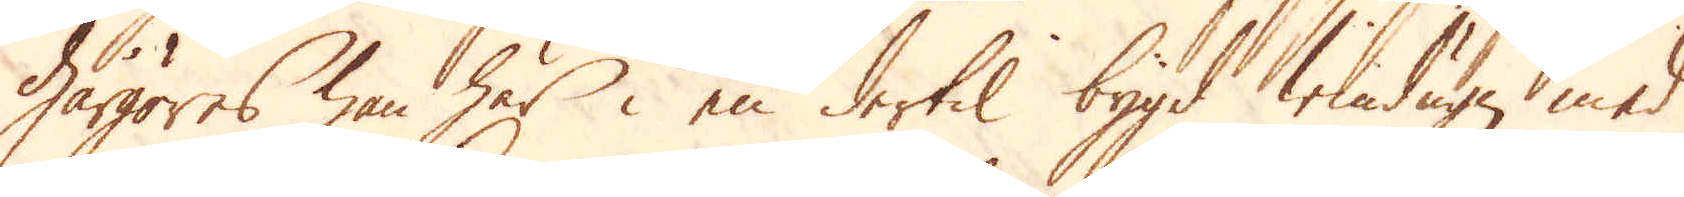gårgöres han här i en dertil bygd windugn med
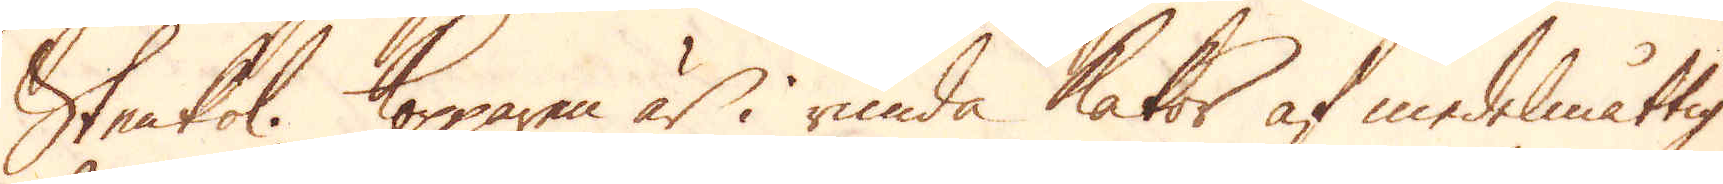Stenkol. Kopparen är i runda Kakor af medelmåttig
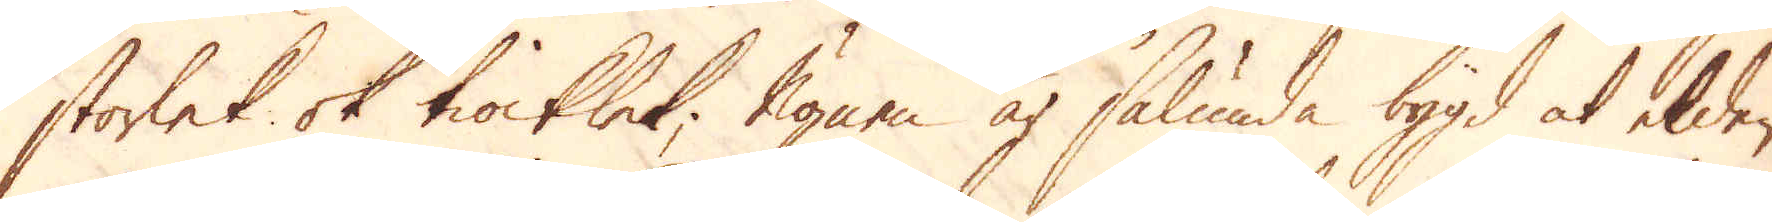storlek ok tiocklek. Ugnen är sålunda bygd at elden
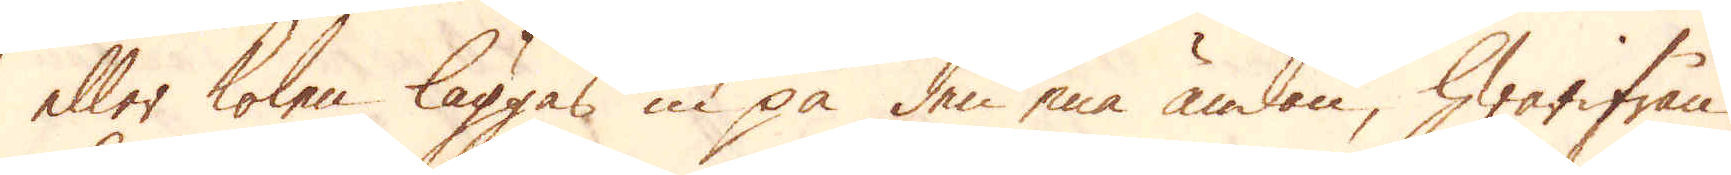eller kolen läggas in på den ena ändan, hwarifrån
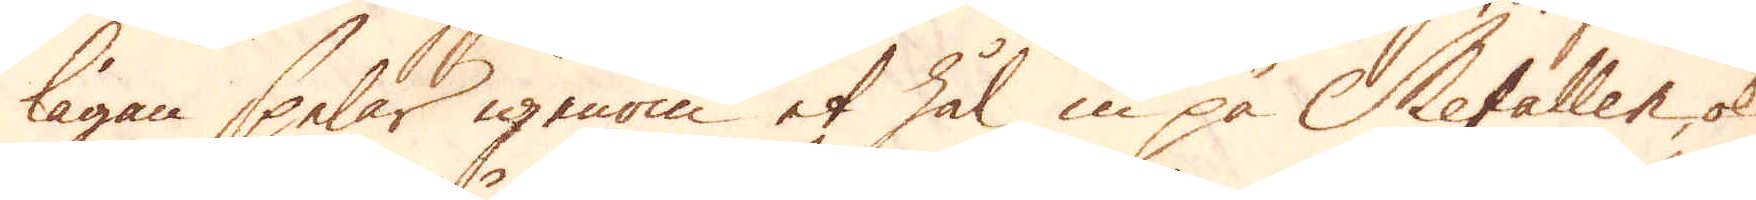lågan spelar igenom et hål in på Metallen, ok
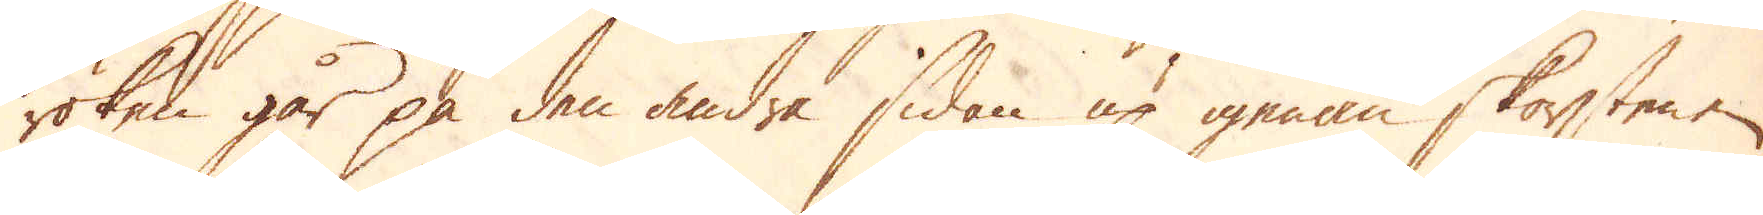röken går på den andra sidan up igenom skorstenen.
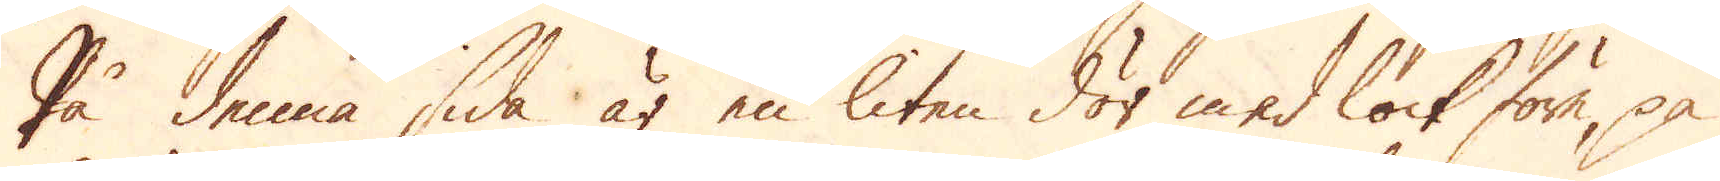På denna sida är en liten dör med lock före, på
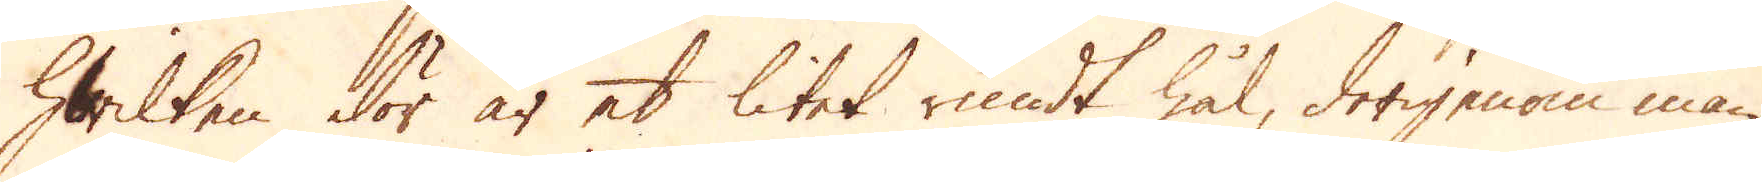hwilken dör är et litet rundt hål, derigenom man
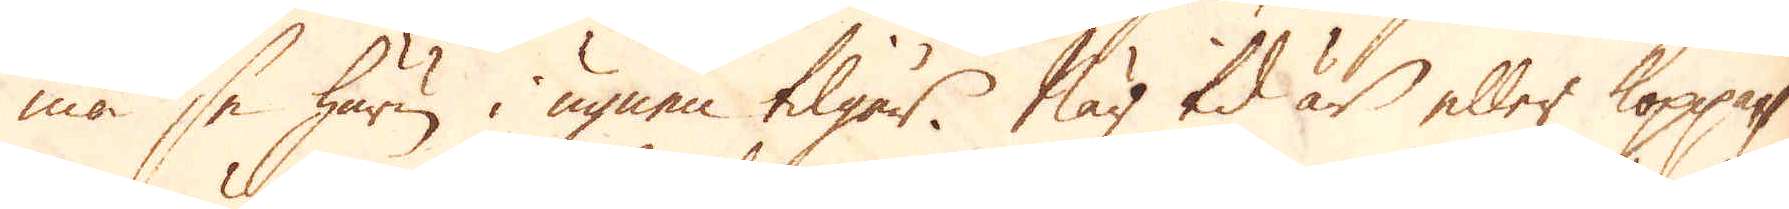må se huru i ugnen tilgår. När tid är eller koppa-
